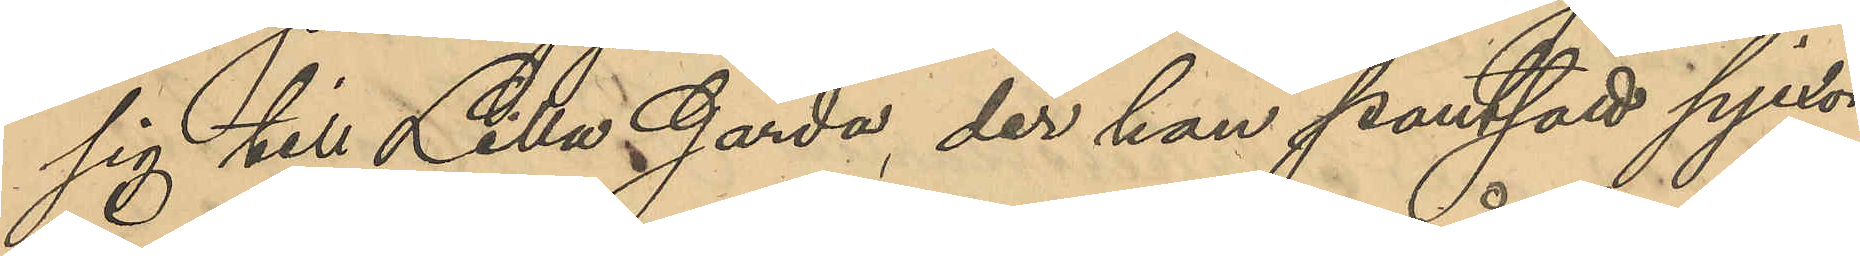sig till Lilla Gårda, där han pantsatt pjexor¬
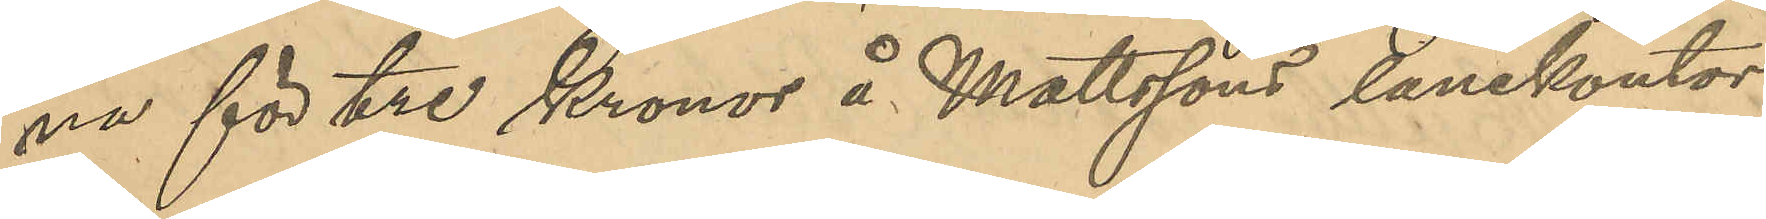na för tre kronor å Mattssons lånekontor
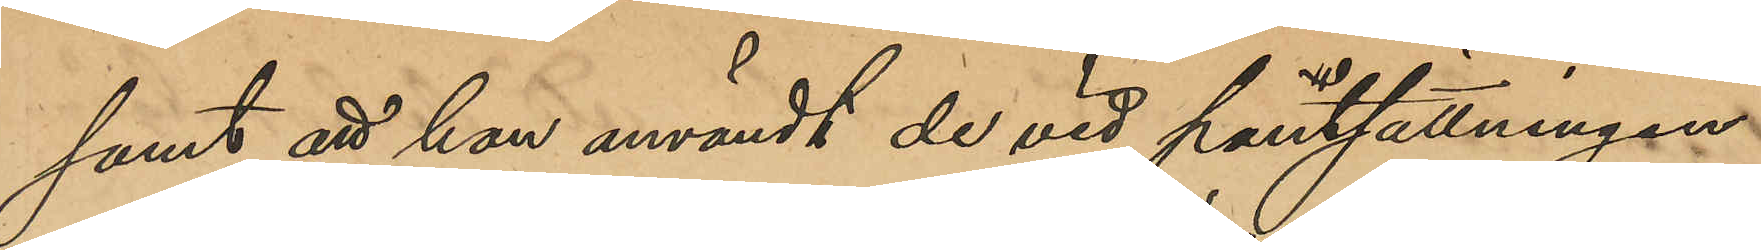samt att han användt de vid pantsättningen
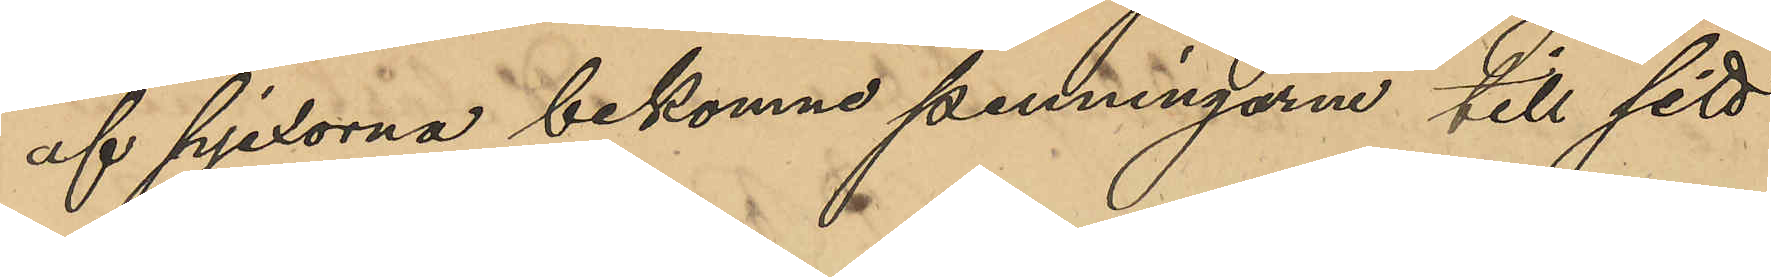af pjexorna bekomne penningarne till sitt
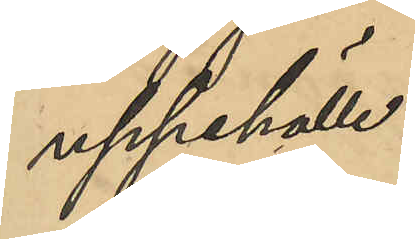uppehälle.
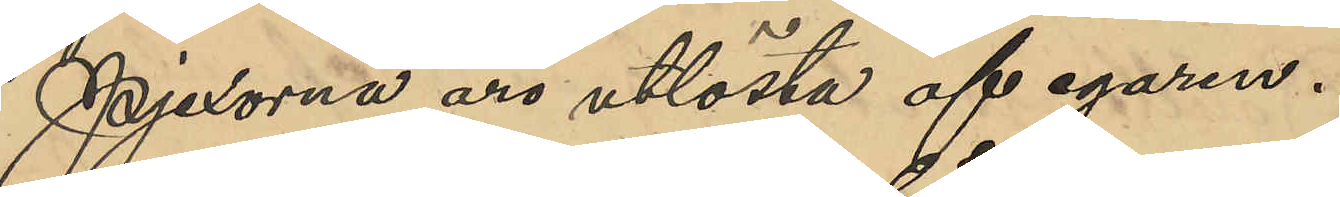Pjexorna äro utlösta af egaren
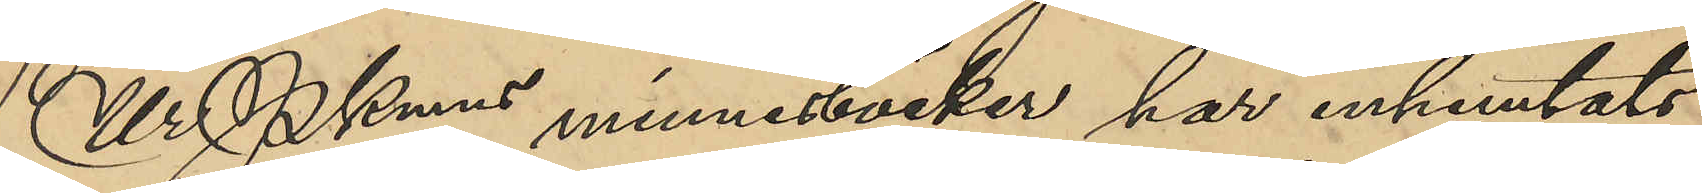Ur PKmns minnesböcker, har inhemtats
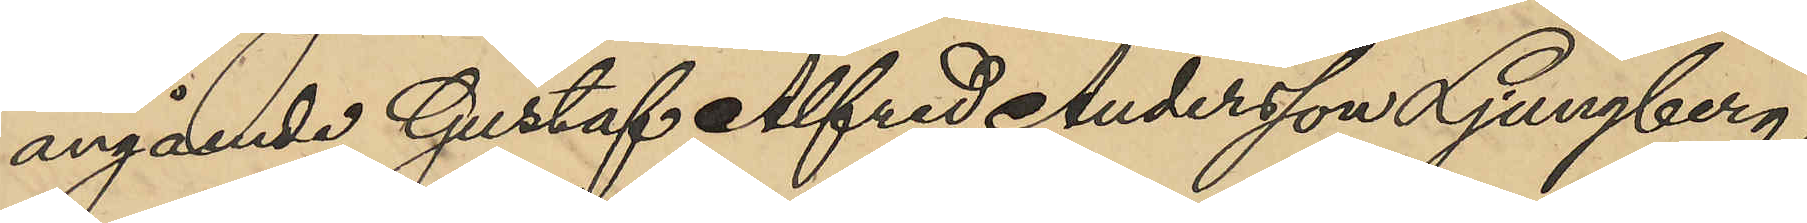angående Gustaf Alfred Andersson Ljungberg,
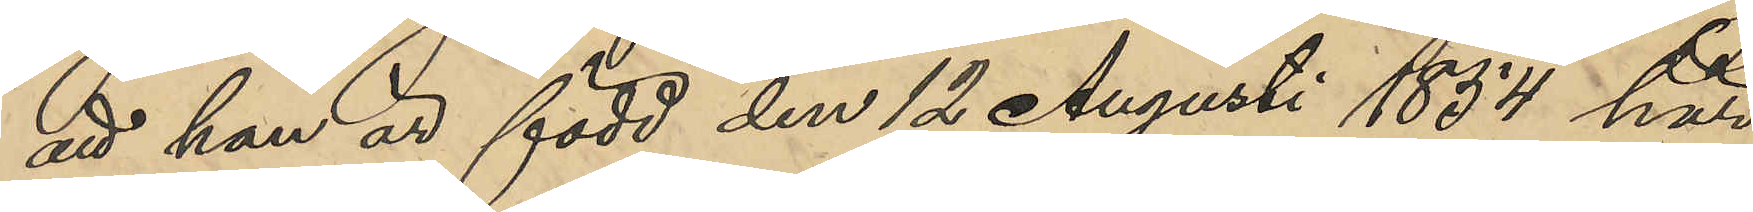att han är född den 12 Augusti 1854 här
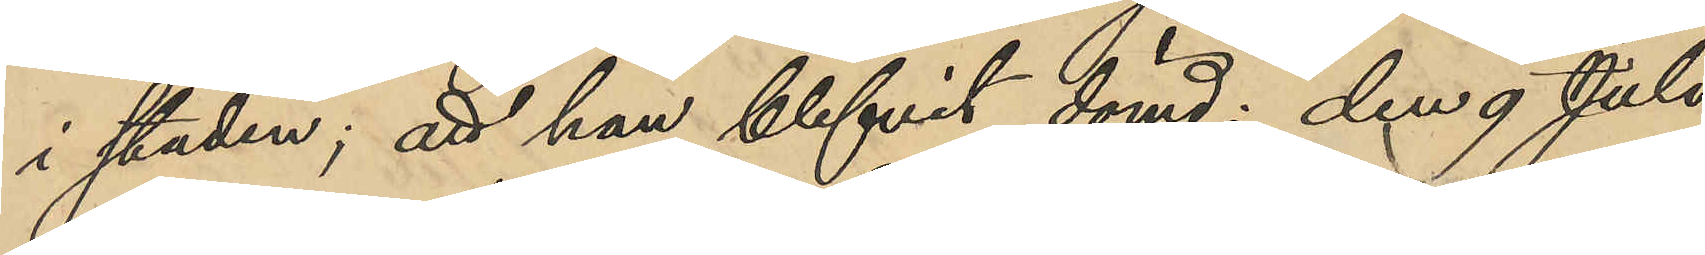i staden; att han blifvit dömd: den 9 Juli
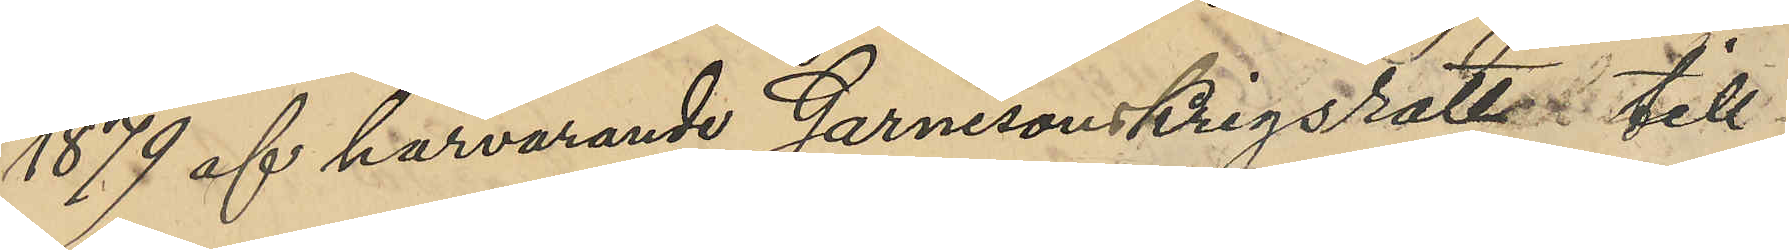1879 af härvarande Garnisonskrigsrätt till
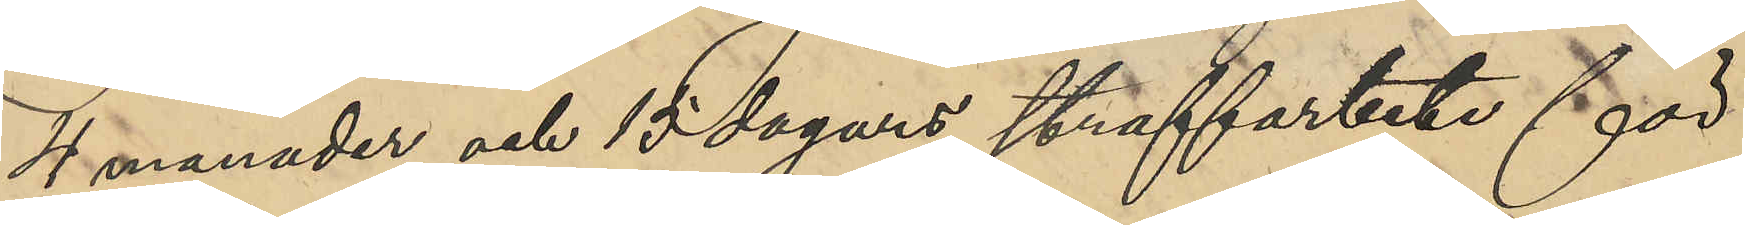4 manader och 15 dagars straffarbete för
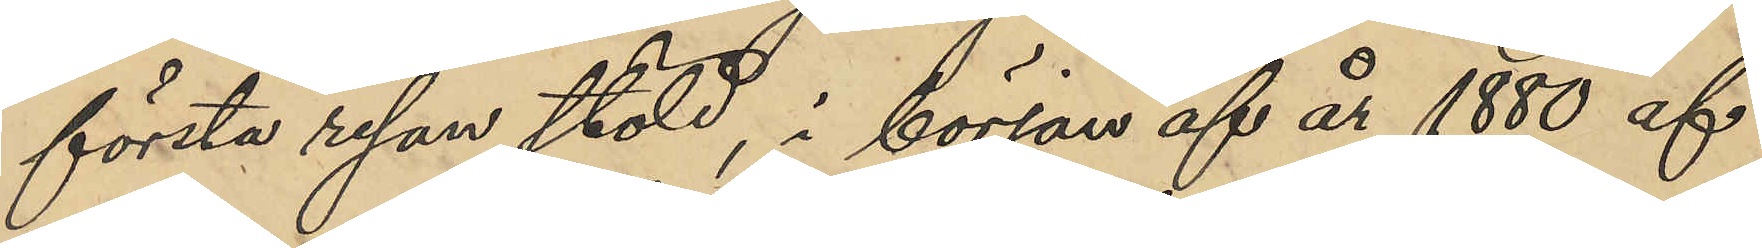första resan stöld, i början af år 1880 af
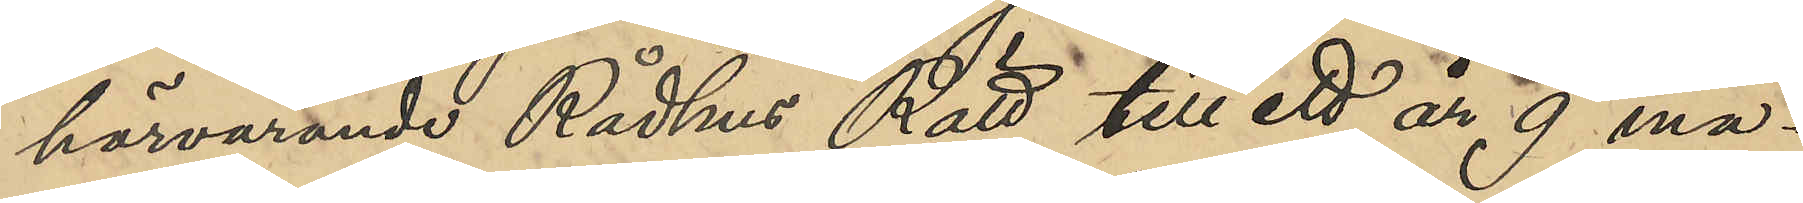härvarande Rådhus Rätt till ett år 9 må¬
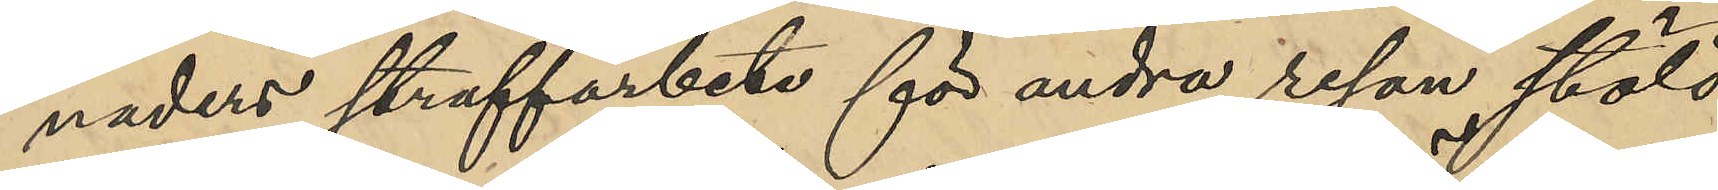naders straffarbete för andra resan stöld
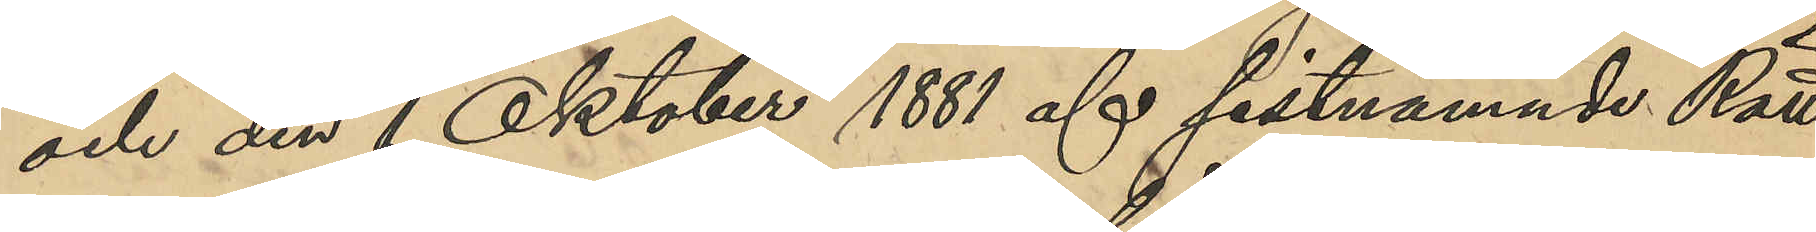och den 1 Oktober 1881 af sistnämnde Rätt
